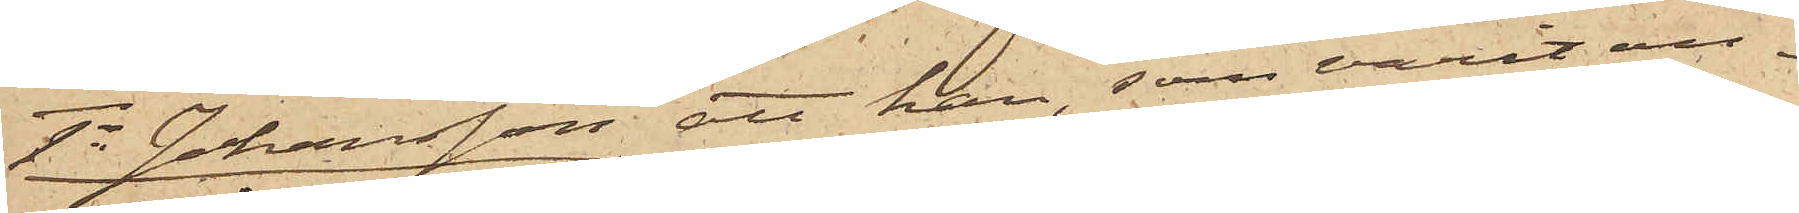1o Johansson att han, som varit an¬
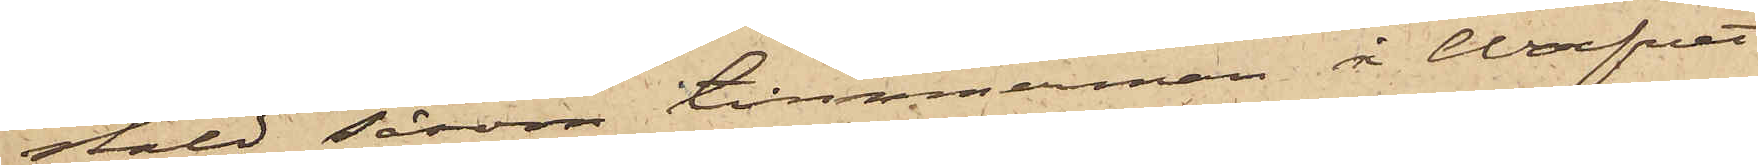stäld såsom timmerman å Warfvet
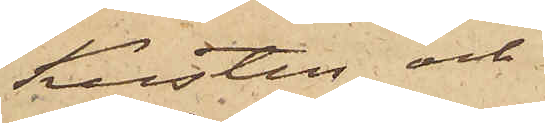Kusten och
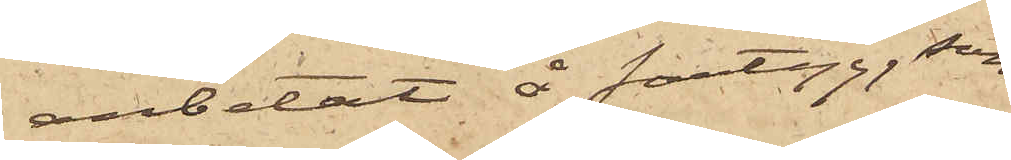arbetat å fartyg, som
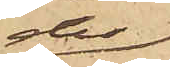der
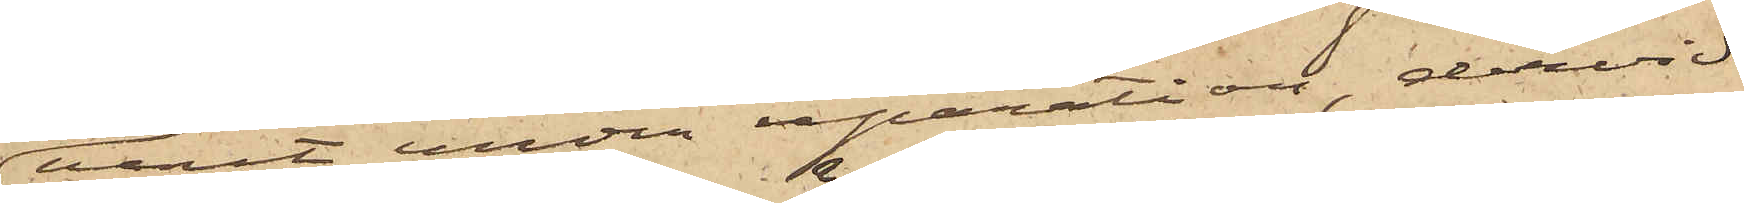varit under reparation, dervid
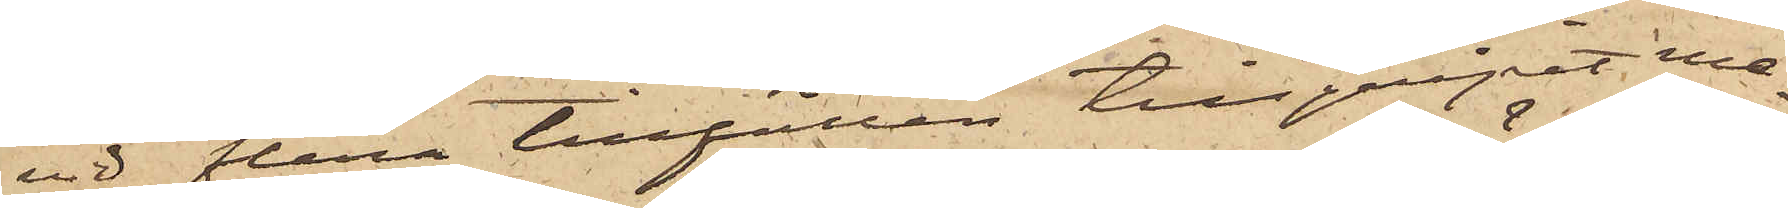vid flera tillfällen tillgripit me¬
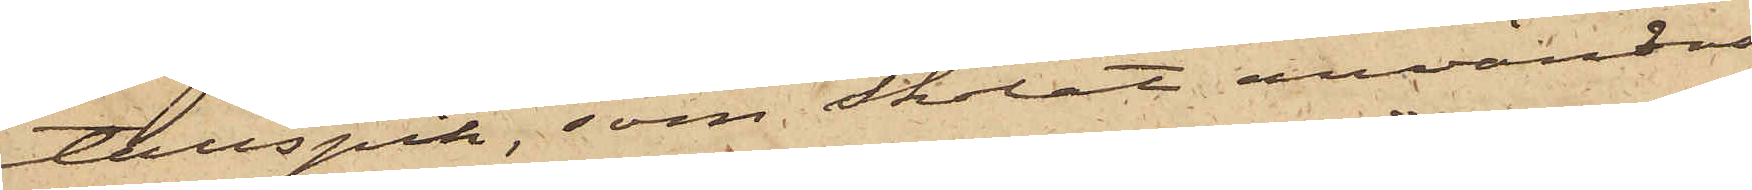tallspik, som skolat användas
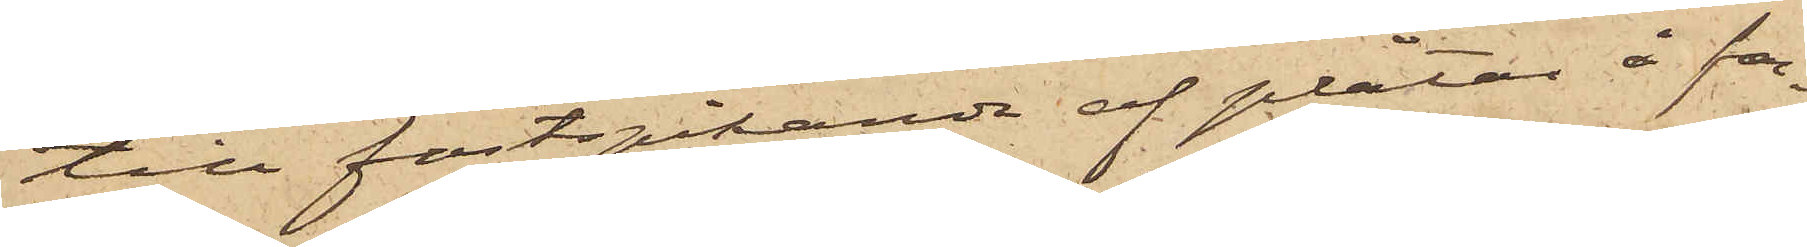till fastspikande af plåtar å far¬
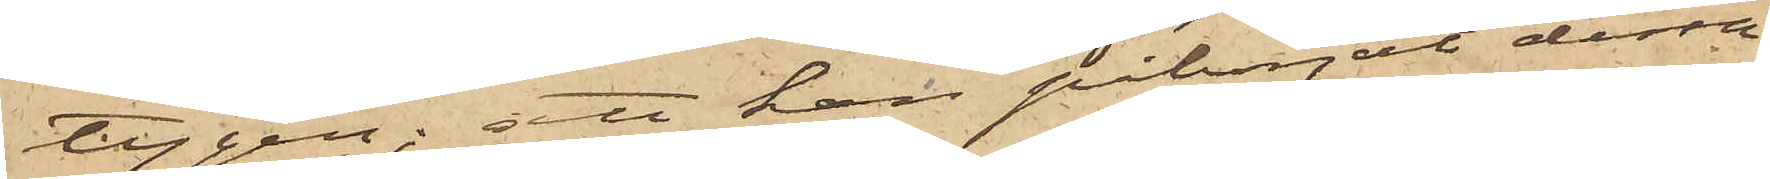tygen; att han påbörjat dessa
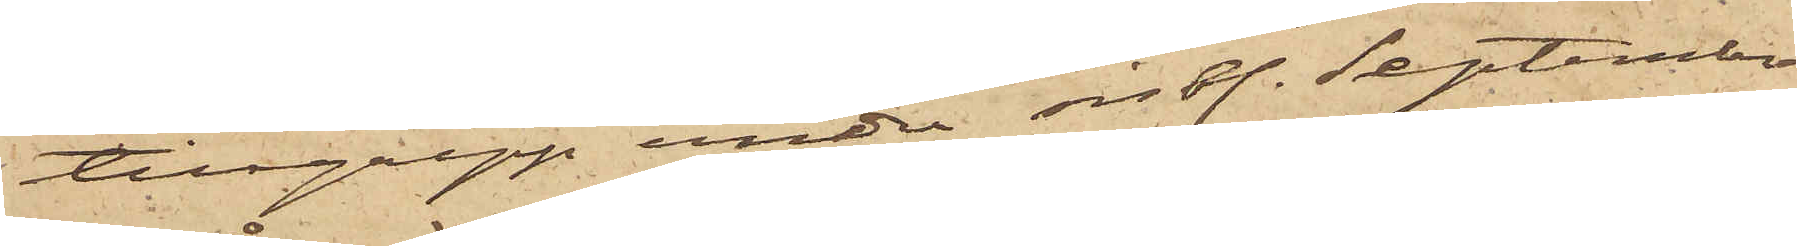tillgrepp under sist. September
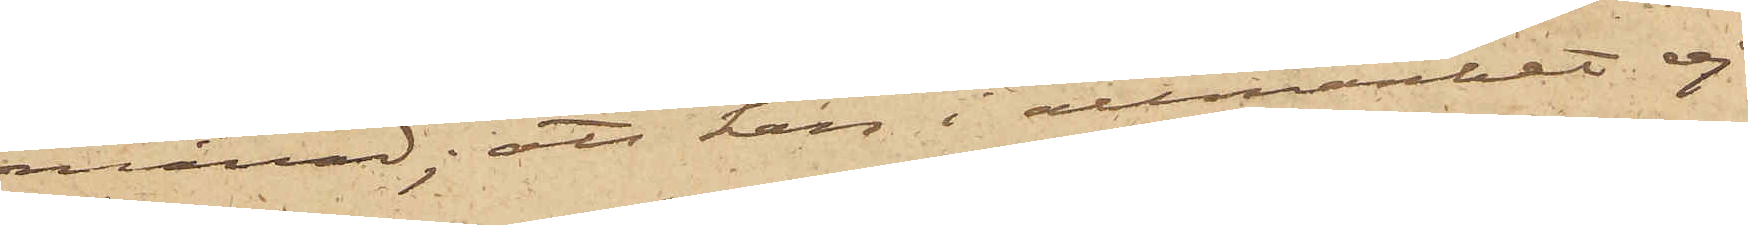månad; att han i allmänhet ej
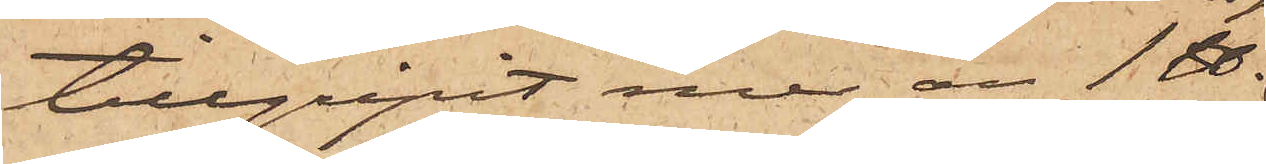tillgripit mer än1 ℔
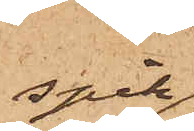spik
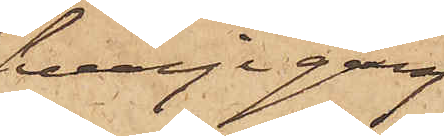hvarje gång
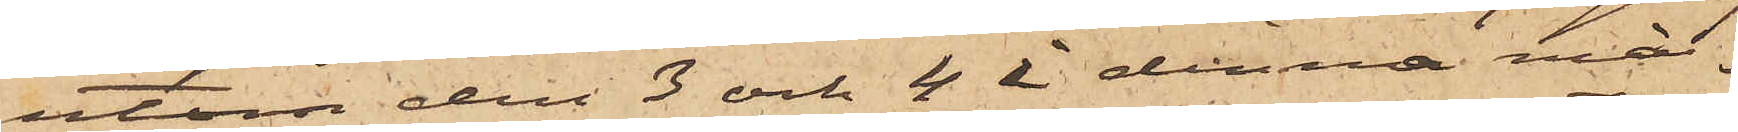utom den 3 och 4 i denna må¬
